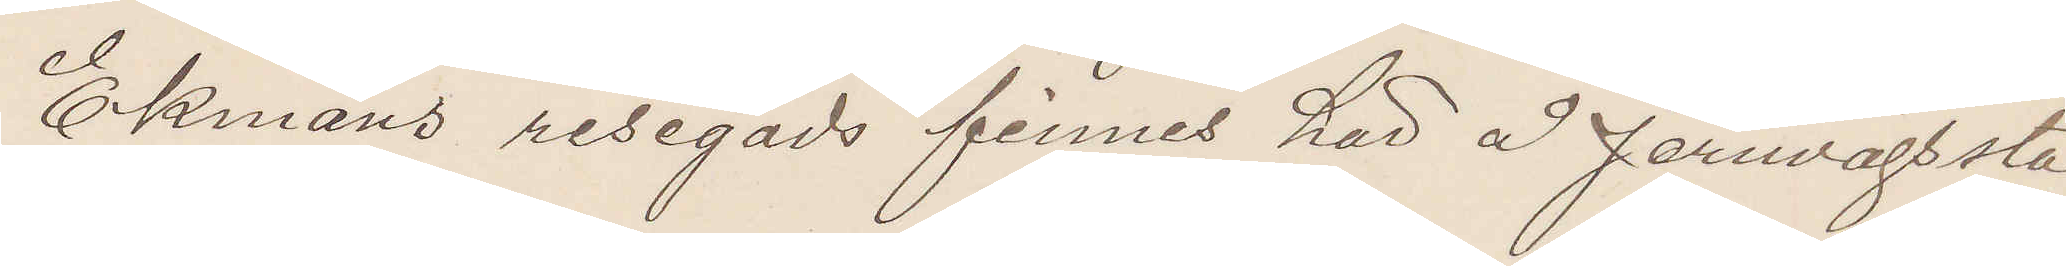Ekmans resegods finnes här å Jernvägssta¬
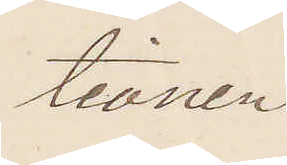tionen.
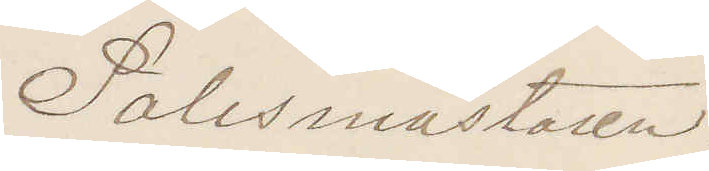Polismästaren.
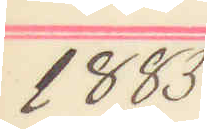1885
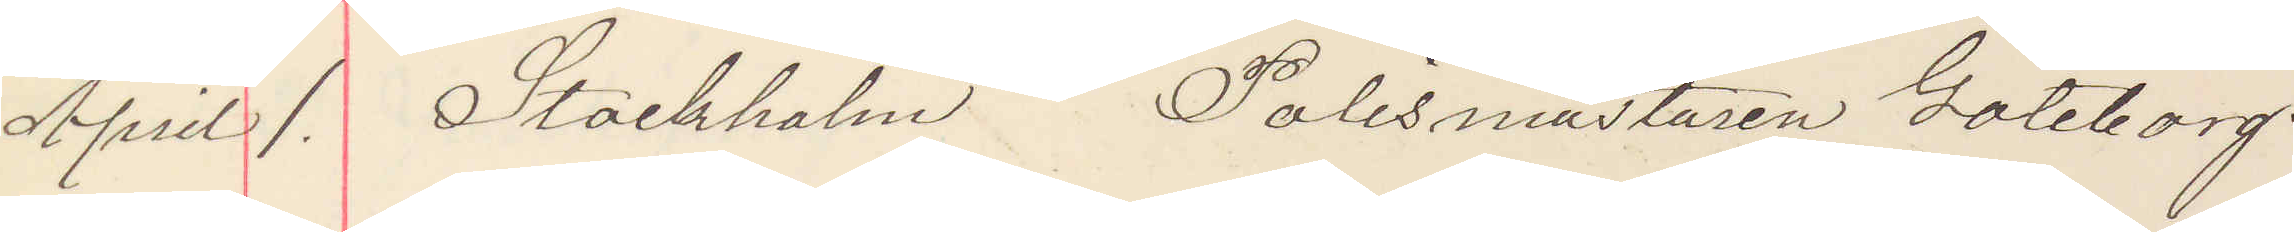April 1. Stockholm Polismästaren Göteborg.
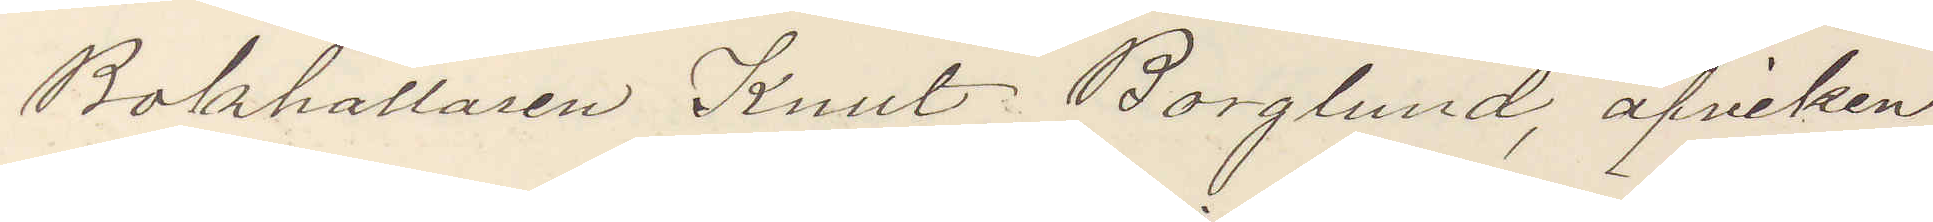Bokhållaren Knut Borglund, afviken
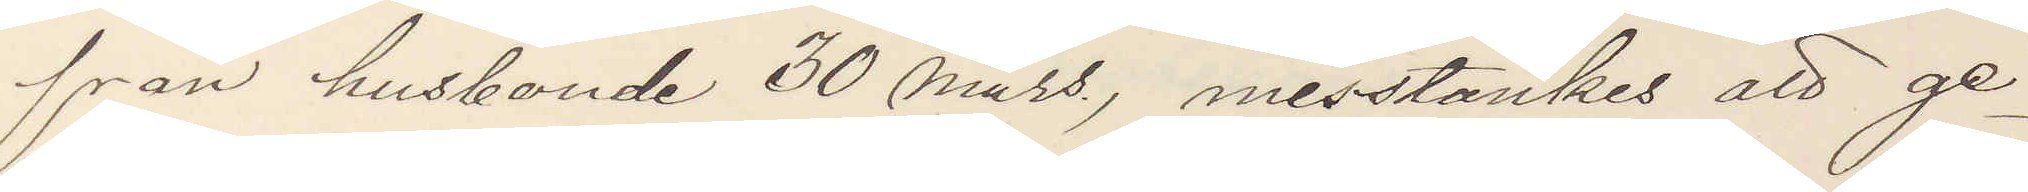från husbonde 30 Mars, misstänkes att ge¬
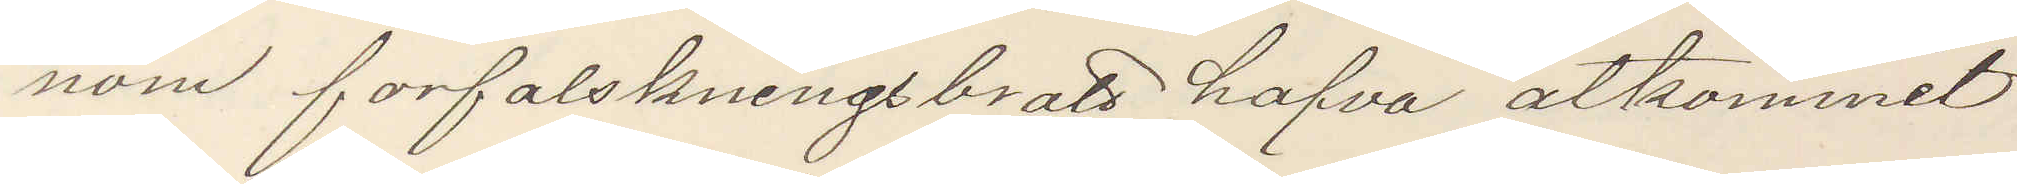nom forfalskningsbrott hafva åtkommit
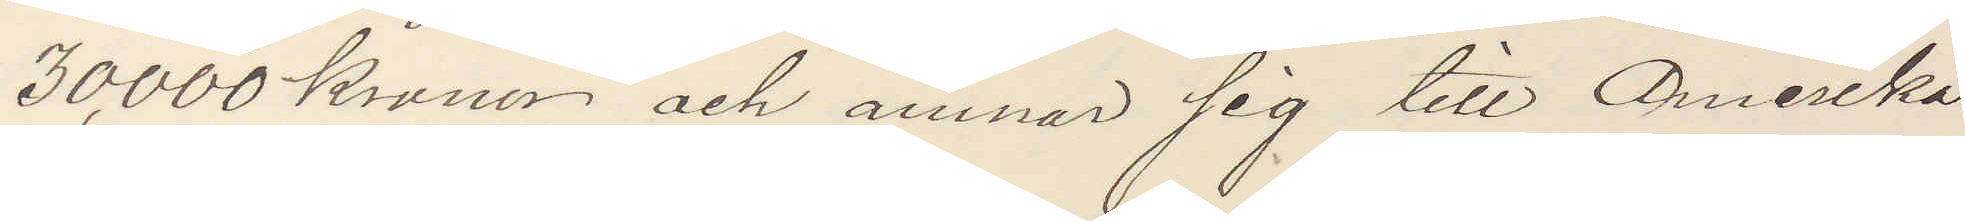30,000 kronor och ämnar sig till Amerika.
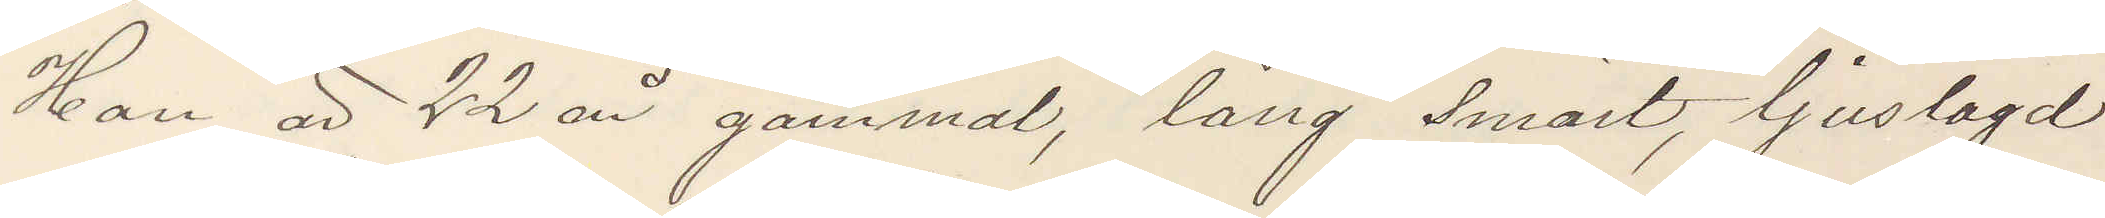Han är 22 år gammal, lång smärt, ljuslagd
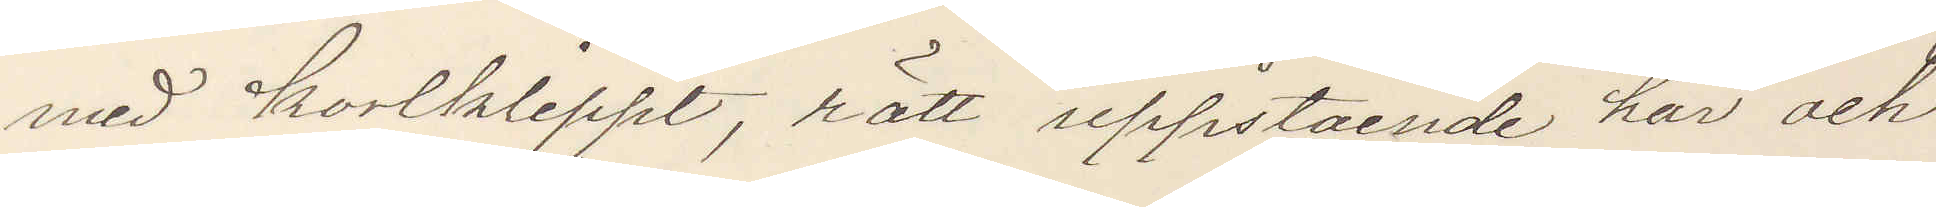med kortklippt, rött uppstående hår och
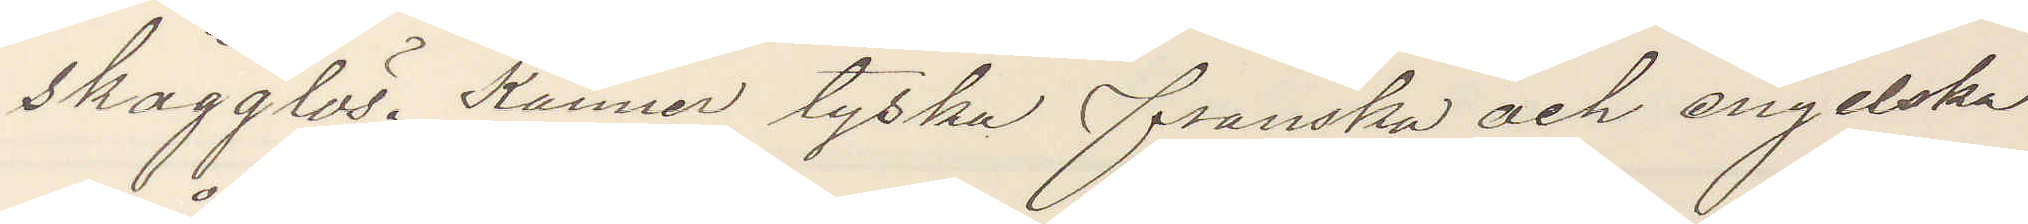skägglös. Känner tyska franska och engelska
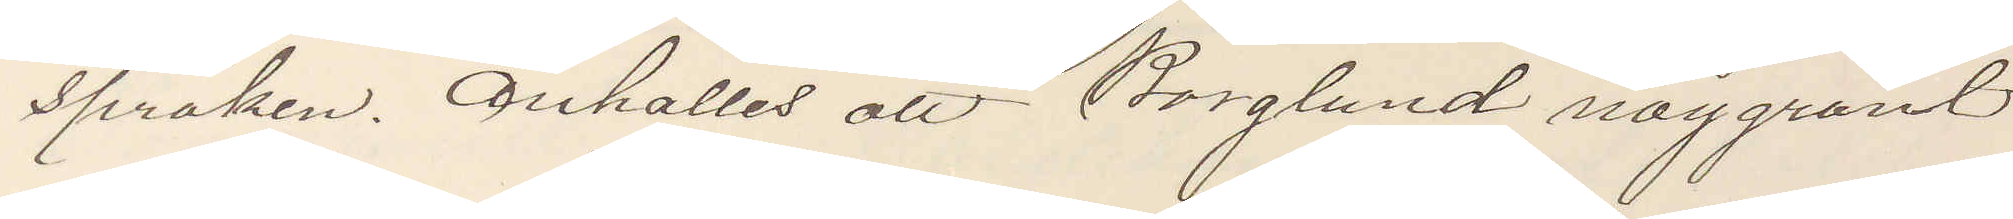språken. Anhålles att Borglund noggrant
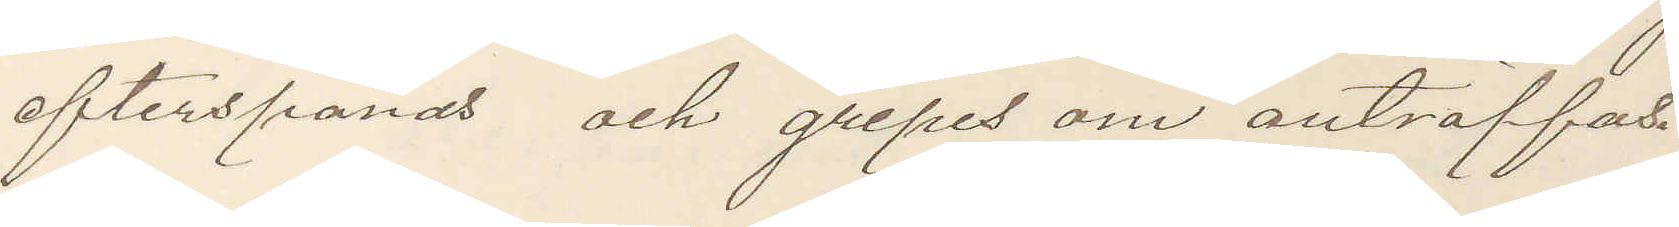efterspanas och gripes om anträffas.
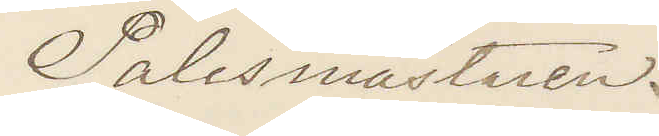Polismästaren.
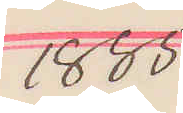1885
